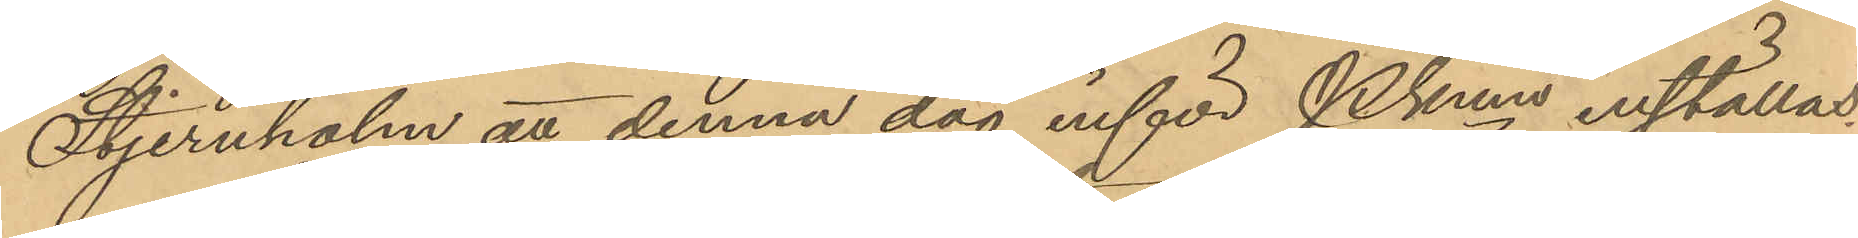Stjernholm att denna dag inför Pkmn inställas.
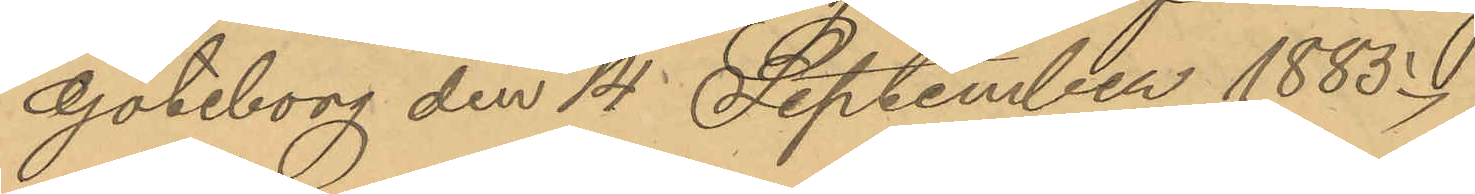Göteborg den 14 September 1885.
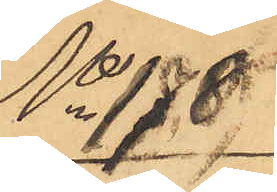No 178.
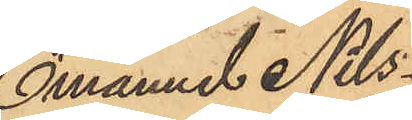Emanuel Nils¬
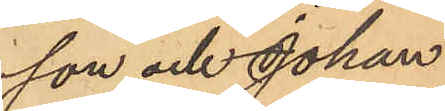son och Johan
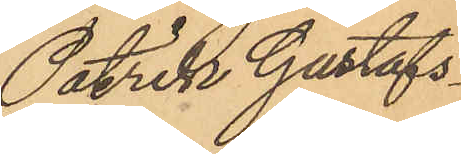Patrik Gustafs¬
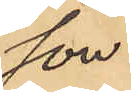son.
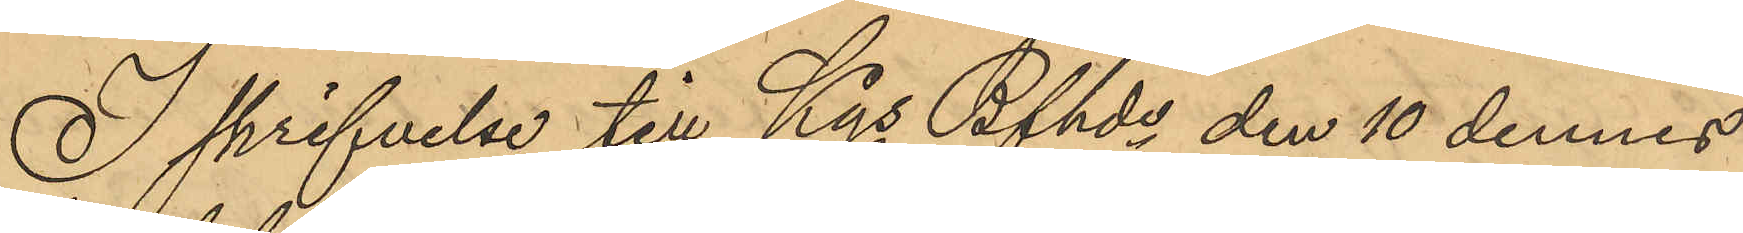I skrifvelse till Kgs Bfhde den 10 dennes
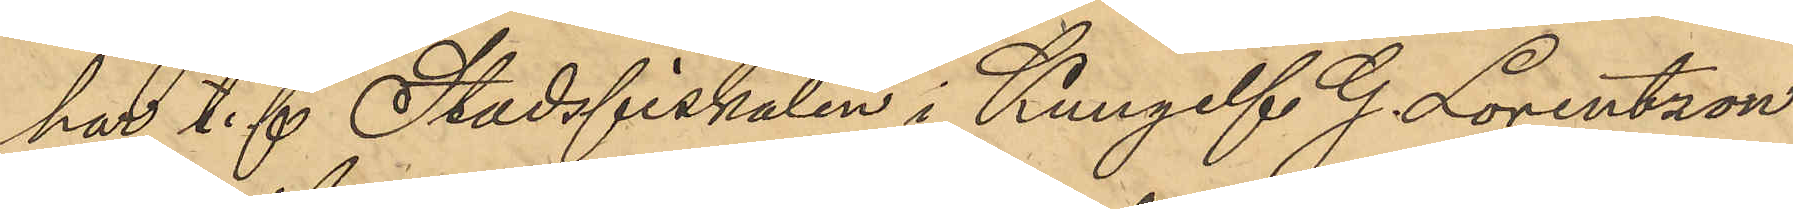har t. f. Stadsfiskalen i Kungelf G. Lorentzon
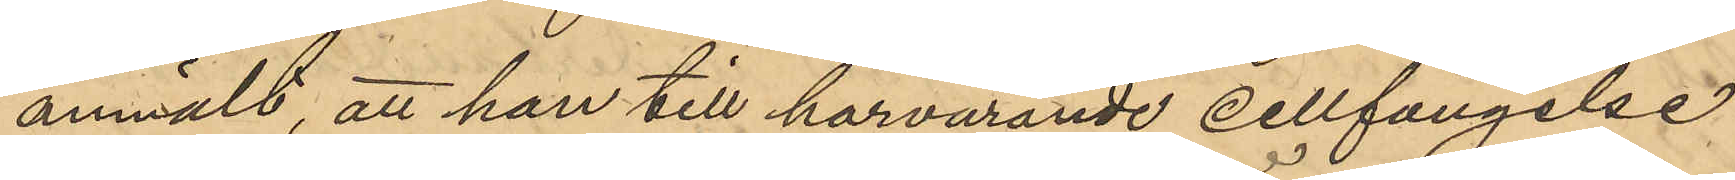anmält, att han till härvarande cellfängelse,
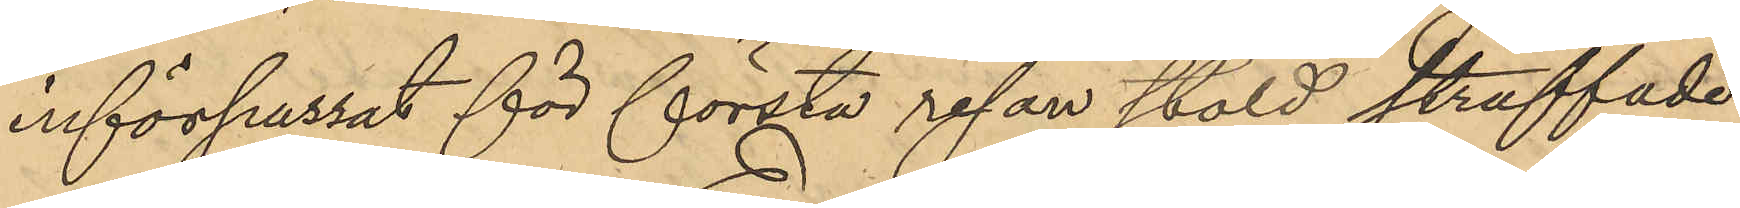införpassat för första resan stöld straffade
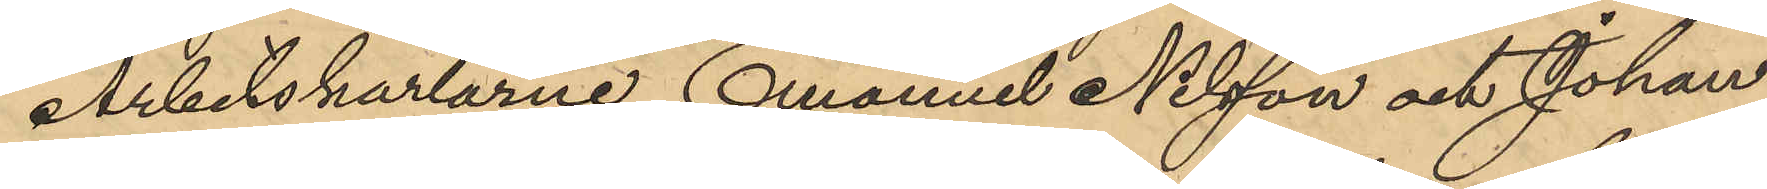Arbetskarlarne Emanuel Nilsson och Johan
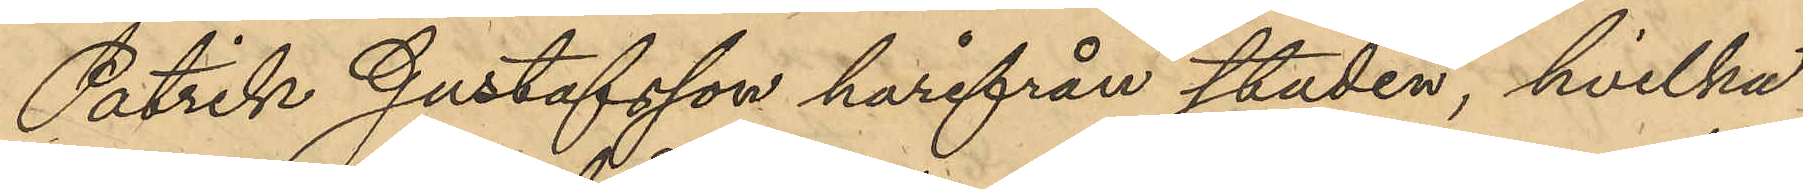Patrik Gustafsson härifrån staden, hvilka
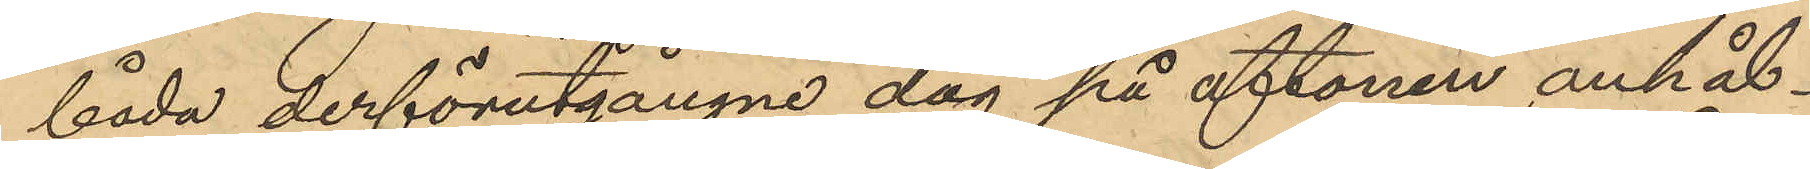båda derförutgångne dag på aftonen anhål¬
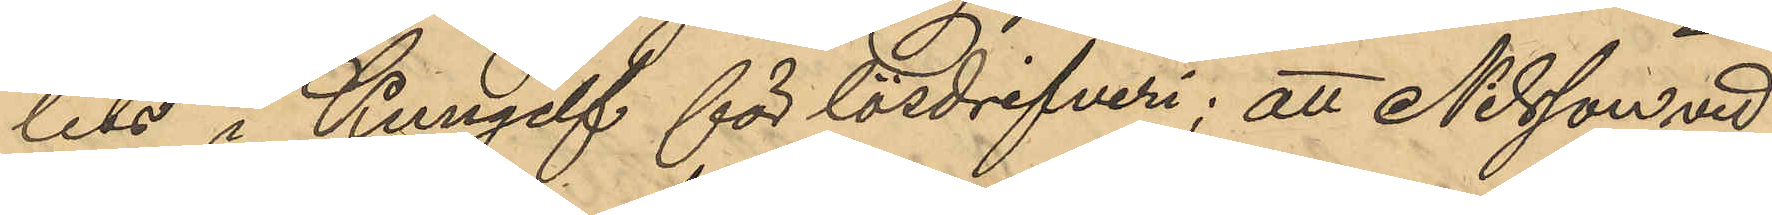lits i Kungelf för lösdrifveri; att Nilsson vid
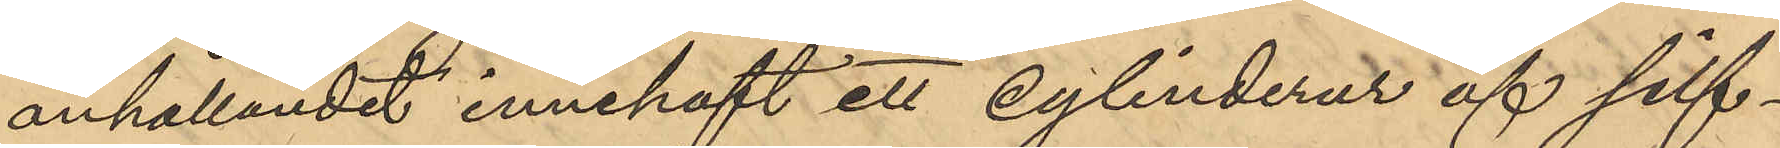anhållandet innehaft ett cylinderur af silf¬
